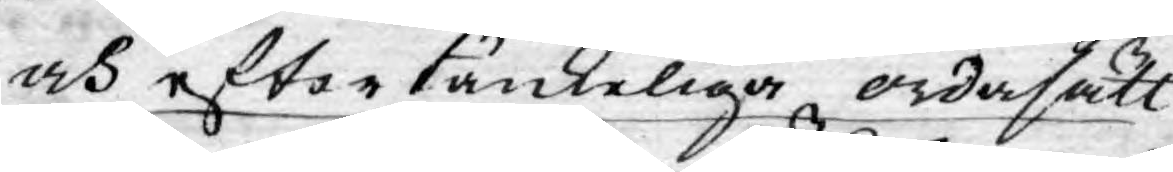och eftertänkeliga ordasätt
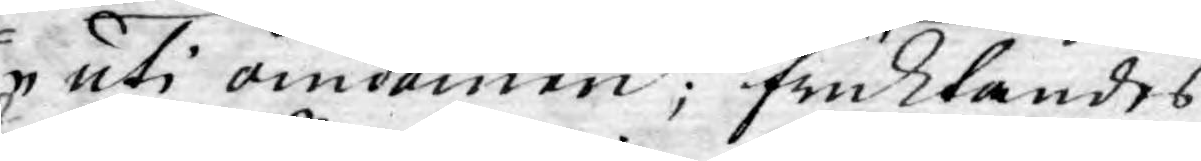uti omdömen; fruktandes
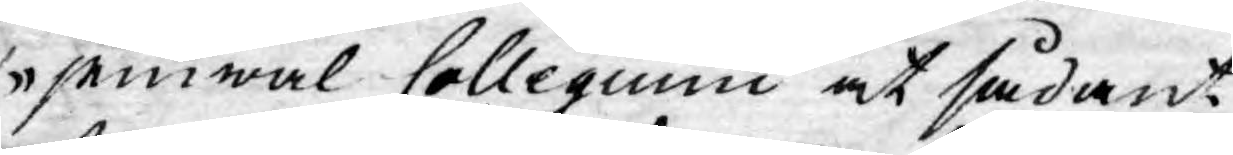jemwäl Collegium at sådant
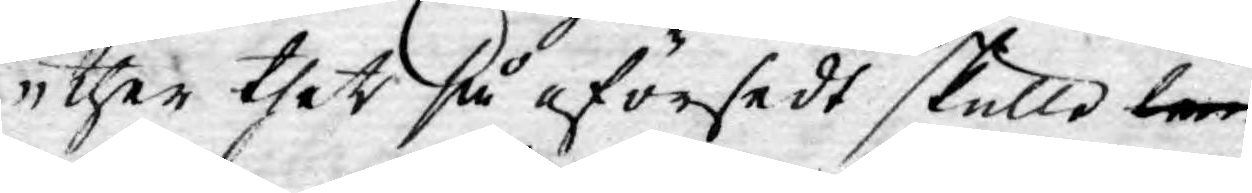ther thet så oförsedt skulle lem¬
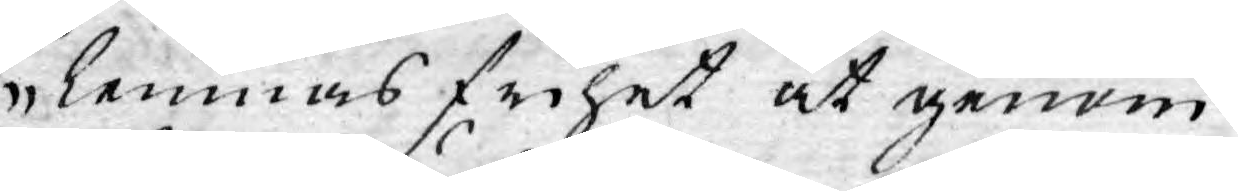lemnas frihet at genom
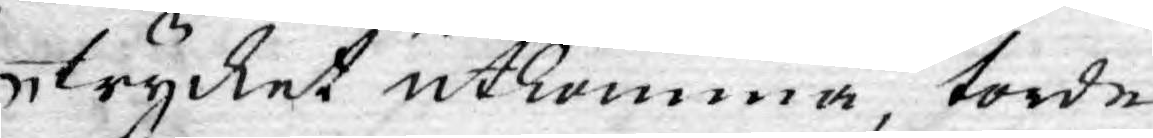trycket utkomma torde
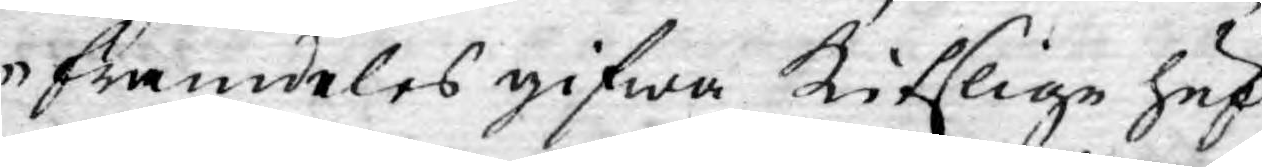framdeles gifwa kitslige huf¬
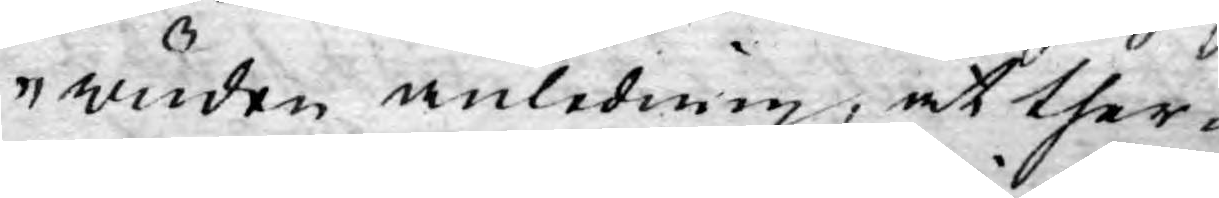wuden anledning, at ther¬
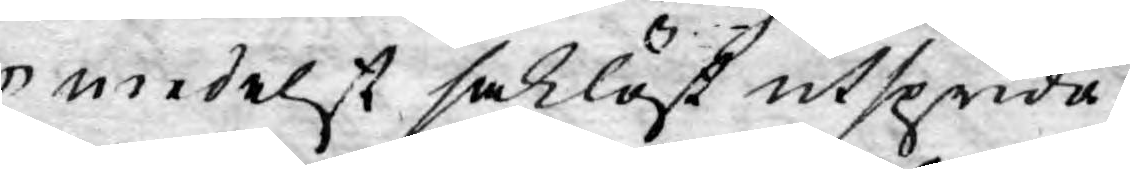medelst saklöst utsprida
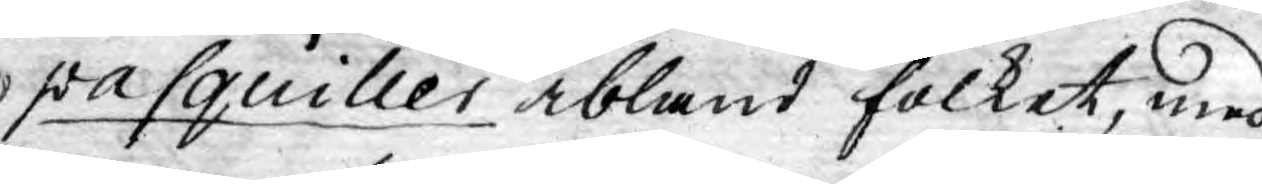pasquiller ibland folket, med
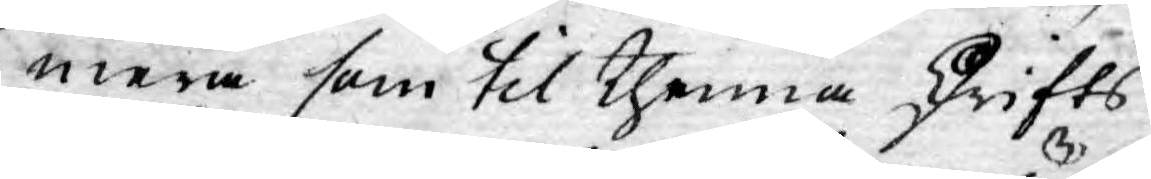mera som til thenna skrifts
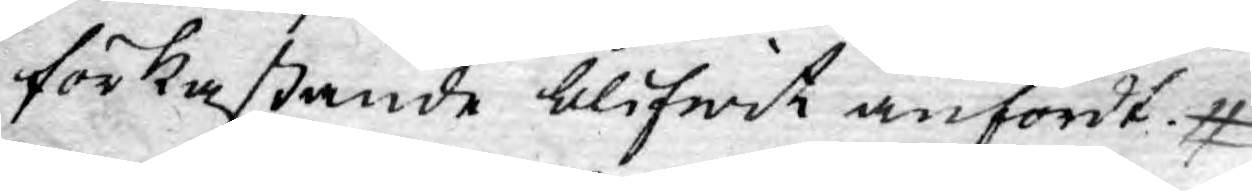förkastande blifwit anfördt.
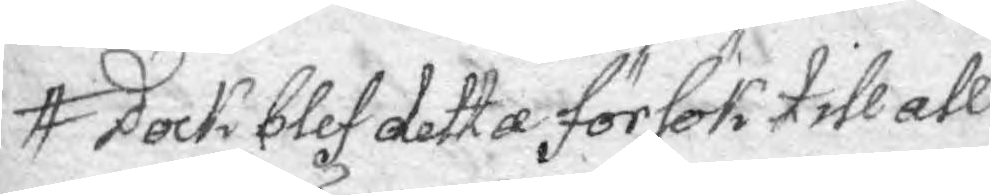Dock blef detta försök till all
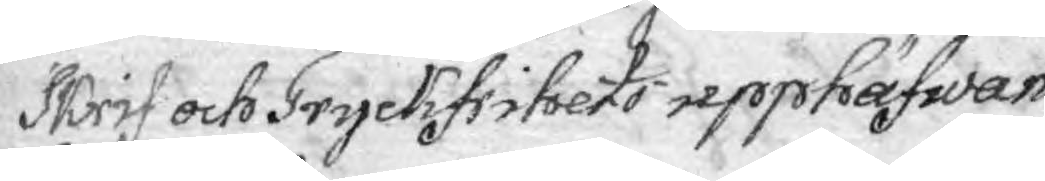Skrif och Tryckfrihets upphäfwan¬
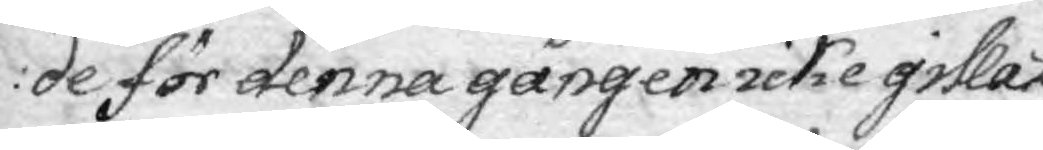de för denna gången icke gillat
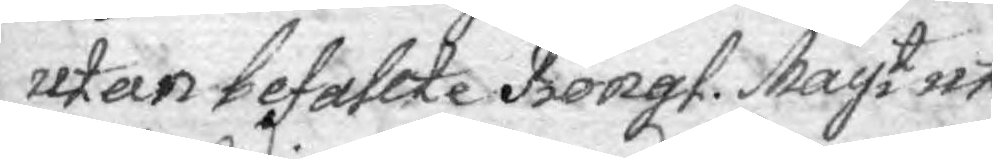utan befallte Kongl. Mayt uti
